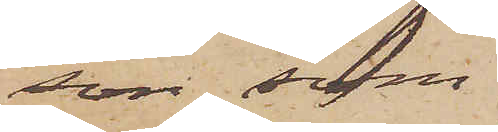son, som
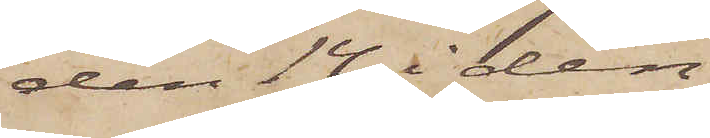den 14 i den¬
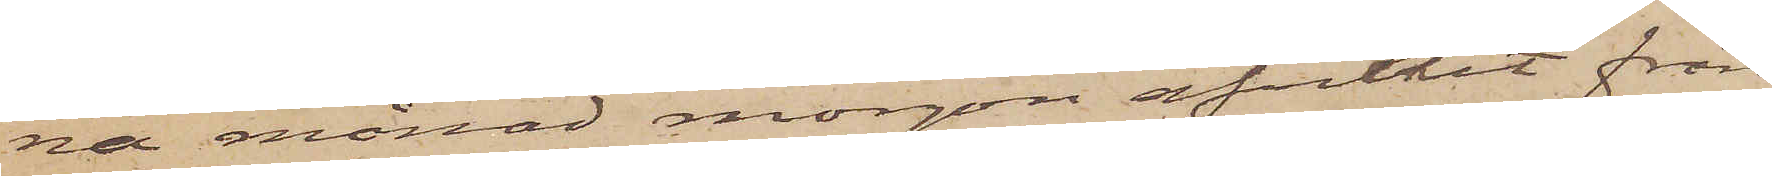na månad morgon afvikit från
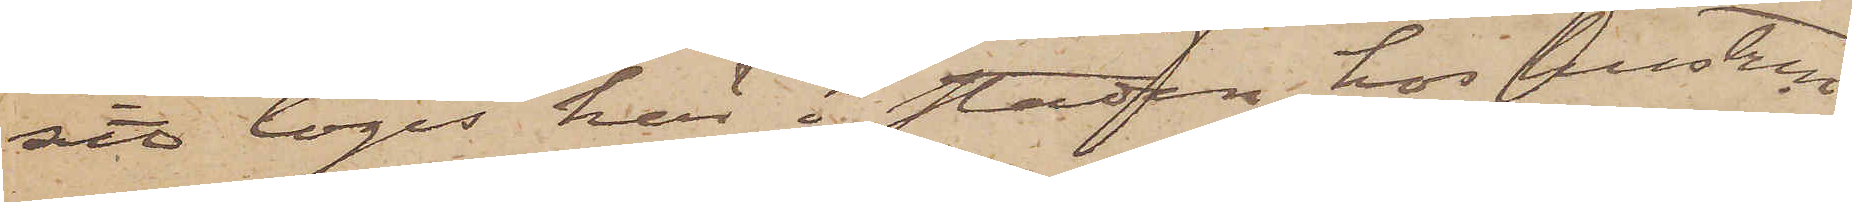sitt logis här i staden hos hustrun
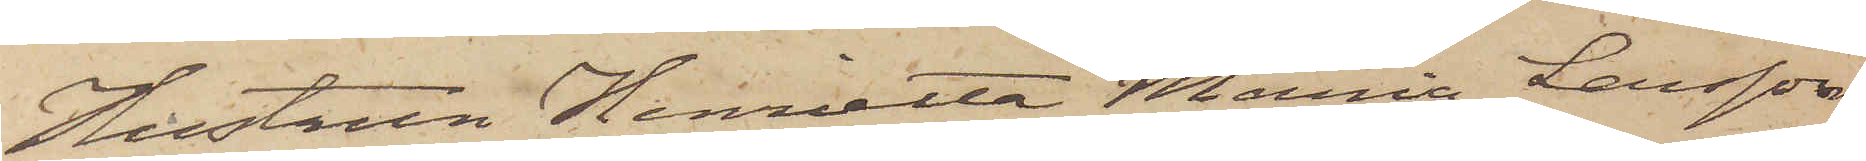Hustrun Henrietta Maria Larsson
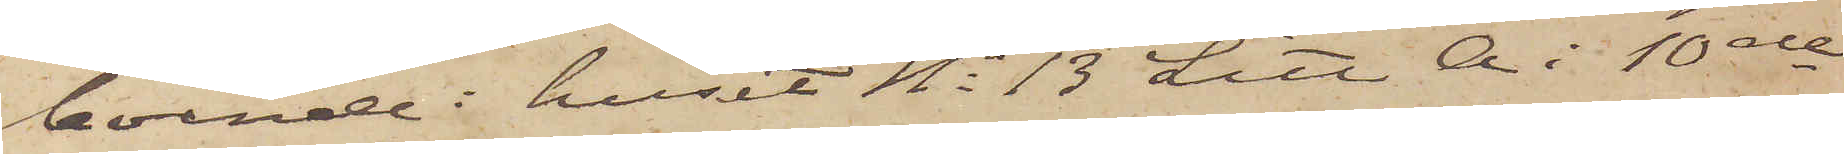boende i huset No 13 Litt A. i 10de
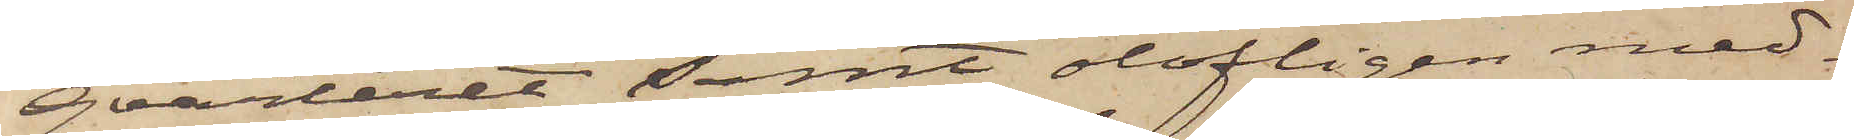qvarteret samt olofligen med¬
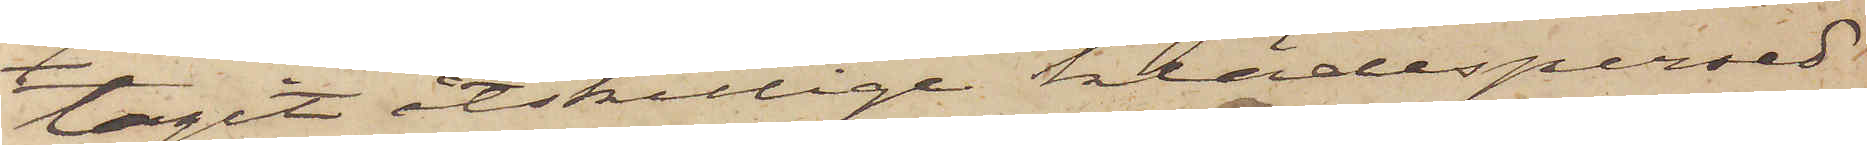tagit åtskillige klädespersed¬
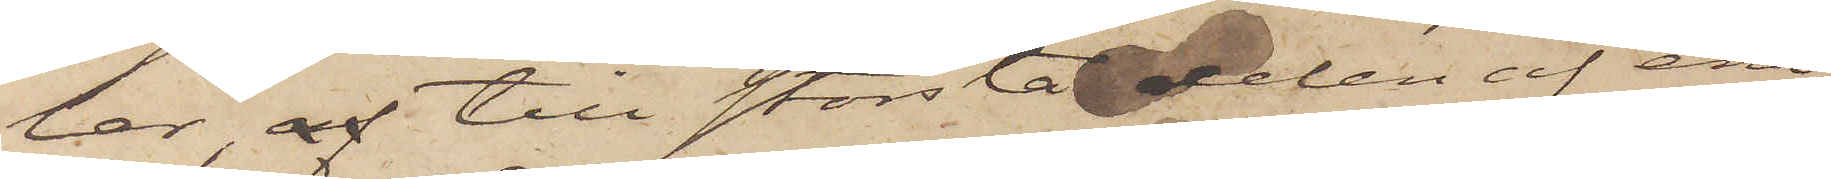lar, af till största delen af ena¬
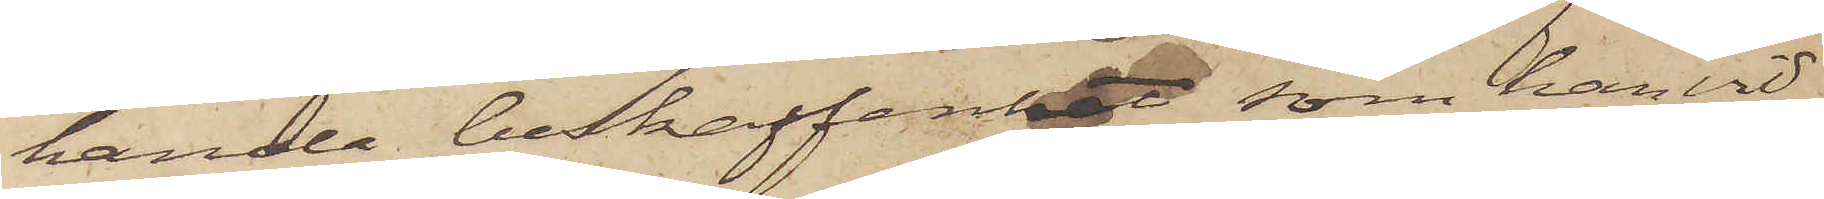handa beskaffenhet, som han vid
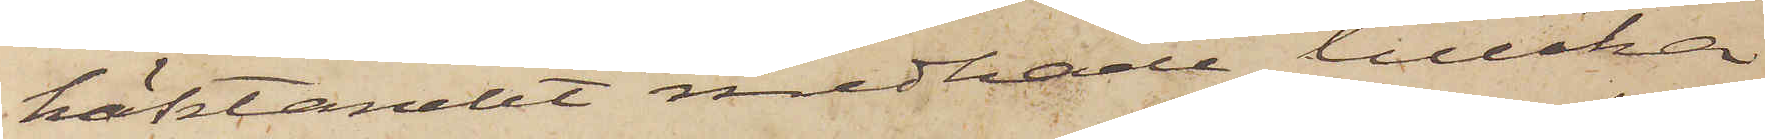häktandet medhade, tillika
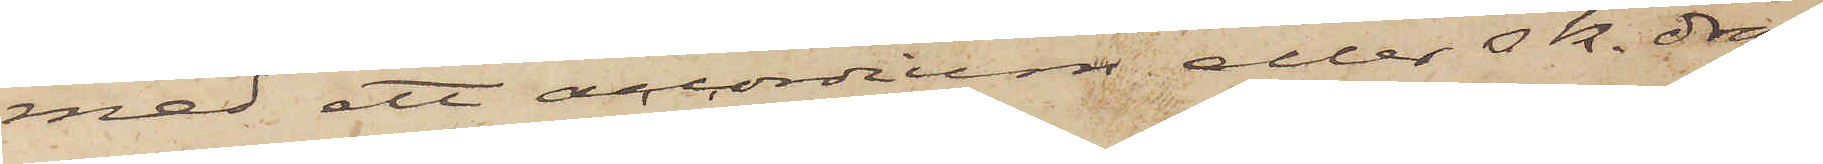med ett accordium eller s. k. drag¬
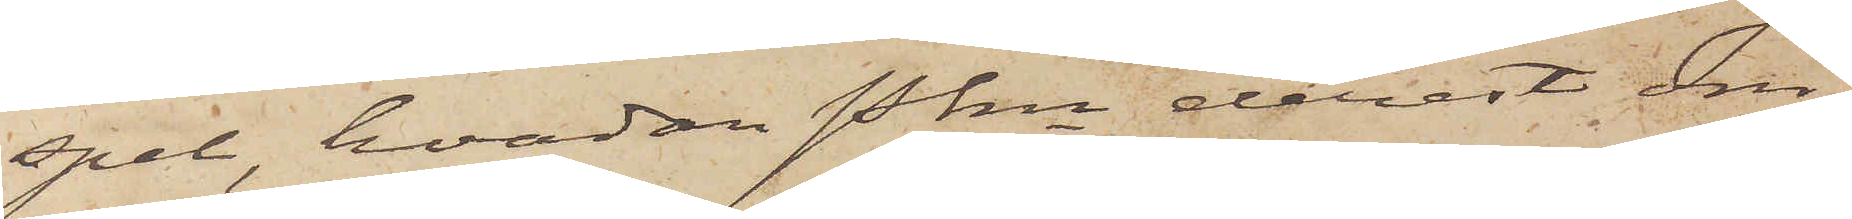spel, hvadan Pkn derest om¬
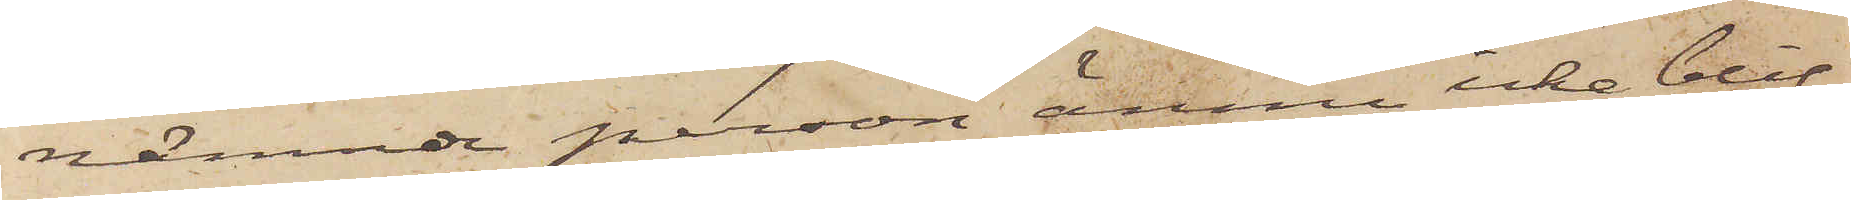nämnde person ännu icke blif¬
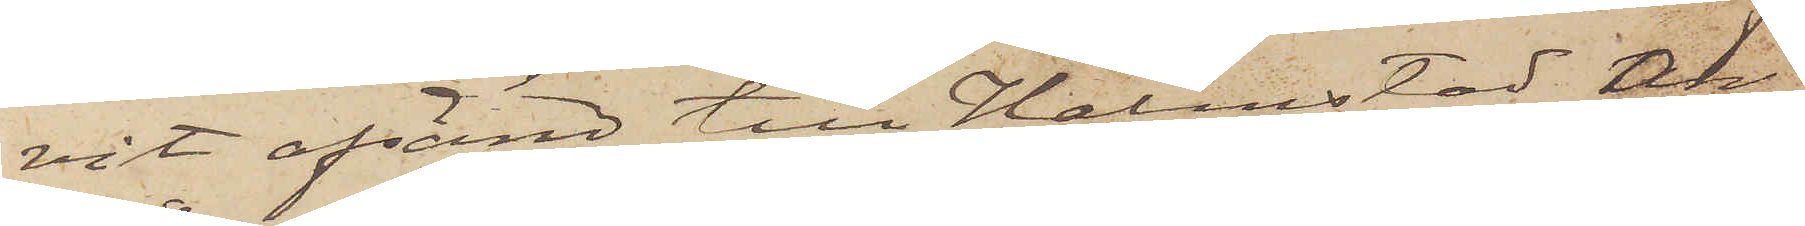vit afsänd till Halmstad, an¬
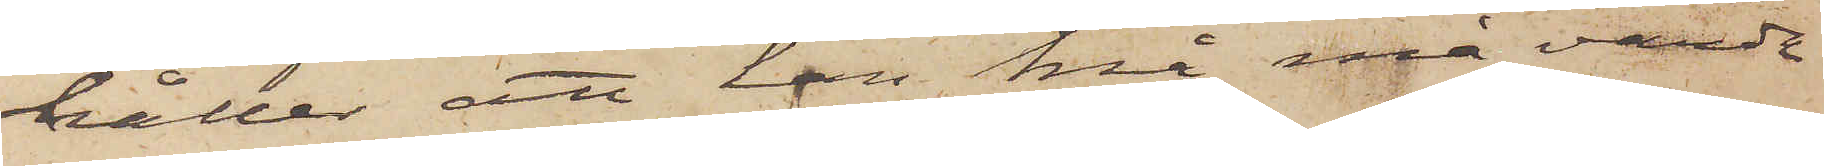håller att han må må varda
